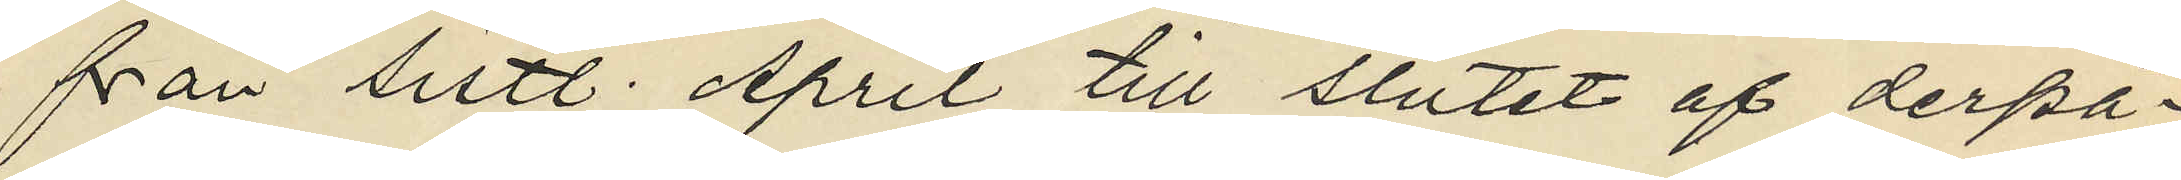från sistl. April till slutet af derpå¬
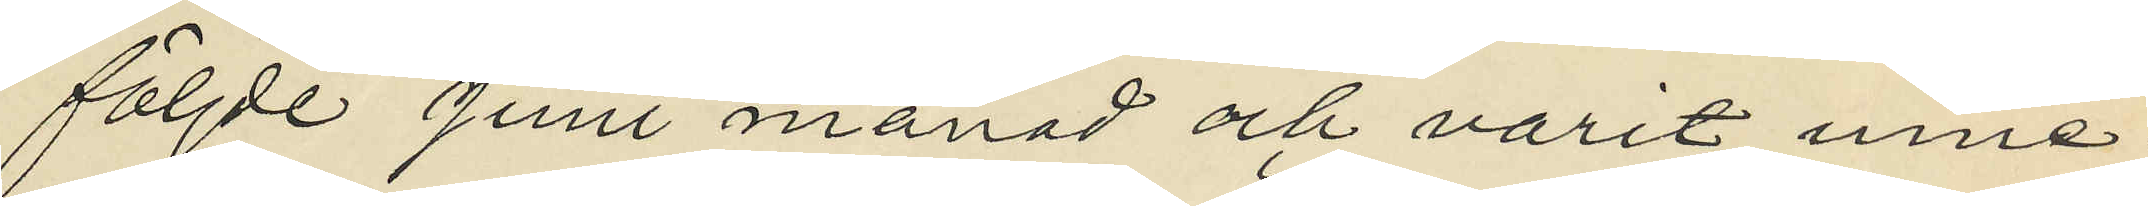följde Juni månad och varit inne¬
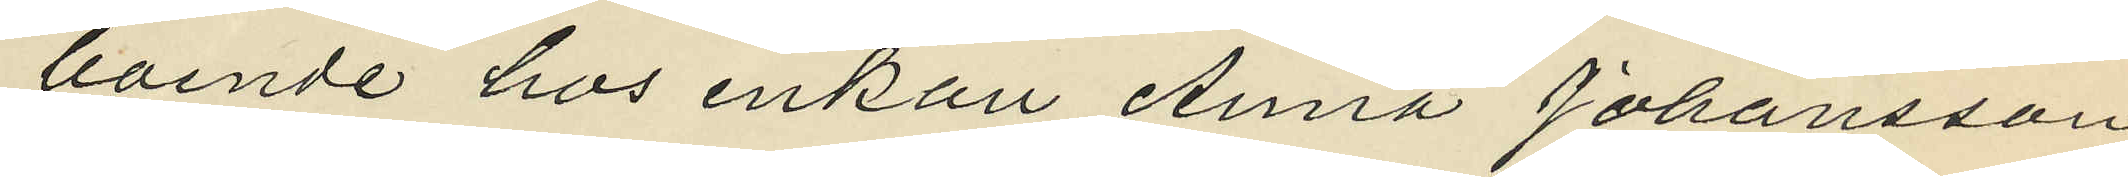boende hos enkan Anna Johansson
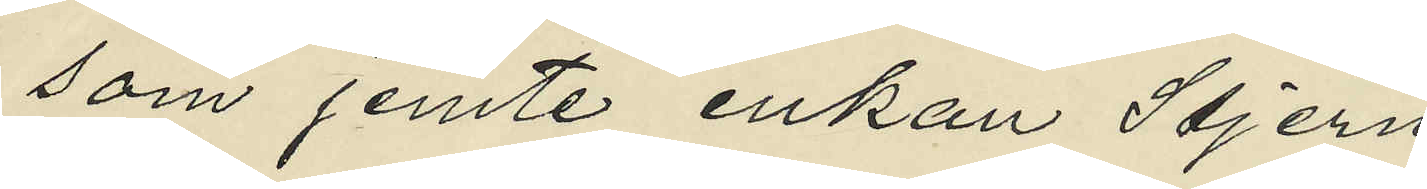som jemte enkan Stjern¬
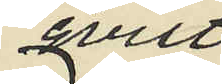qvist
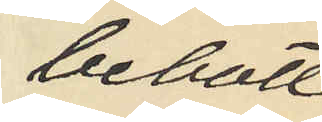bebott
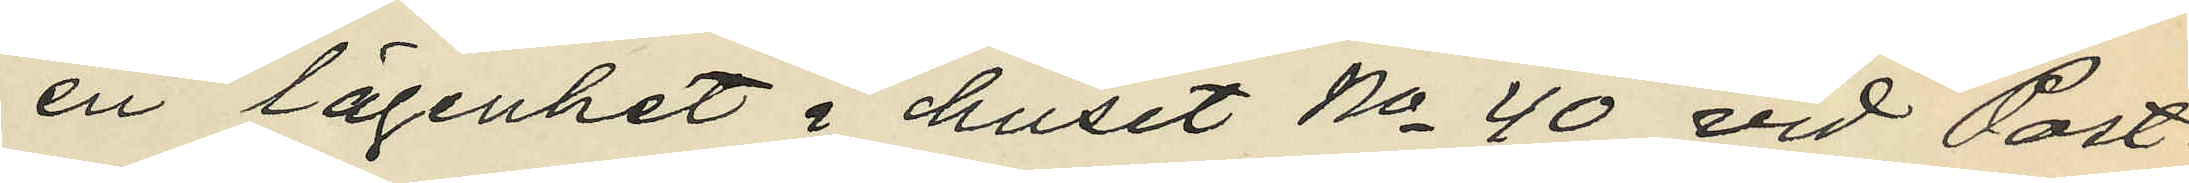en lägenhet i huset No 40 vid Post¬
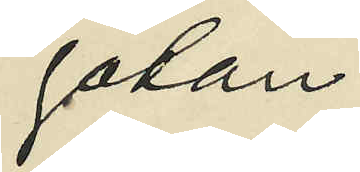gatan;
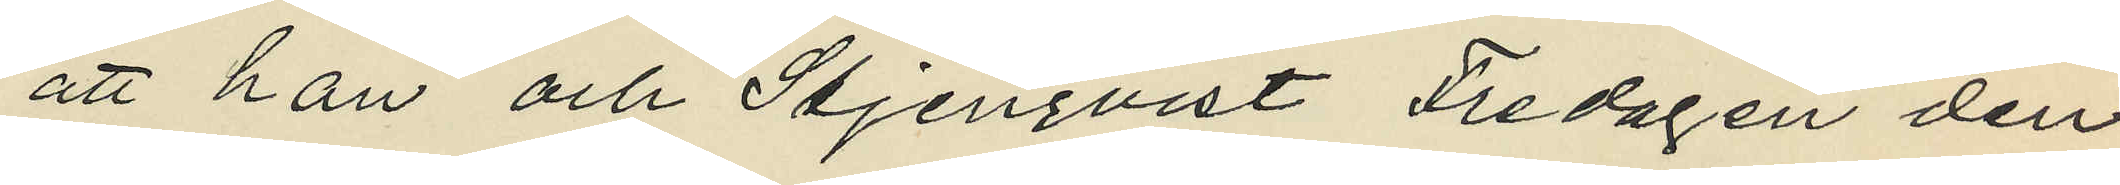att han och Stjenqvist Fredagen den
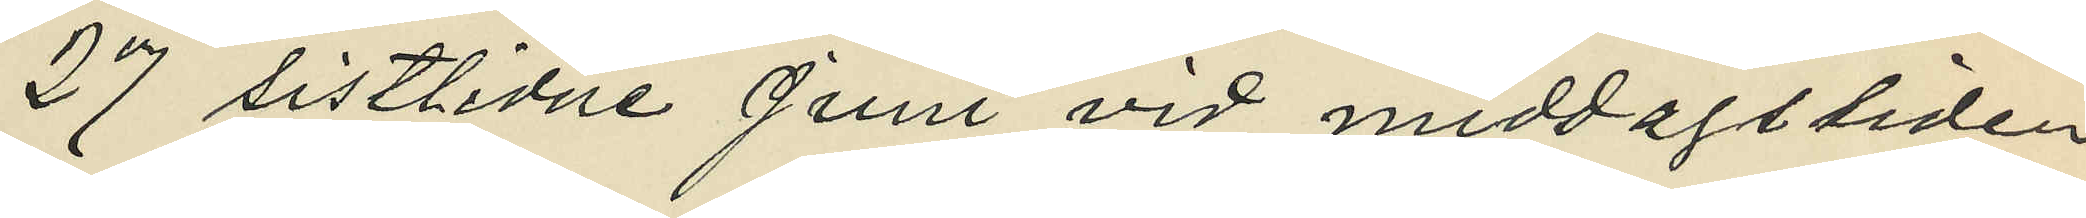27 sistlidne Juni vid middagstiden
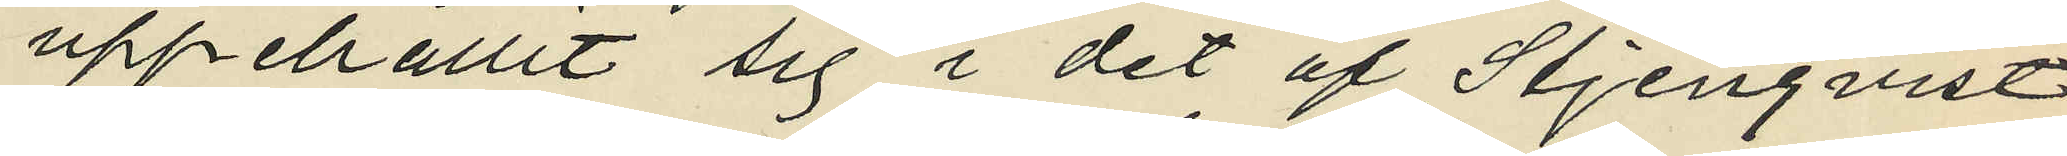uppehållit sig i det af Stjenqvist
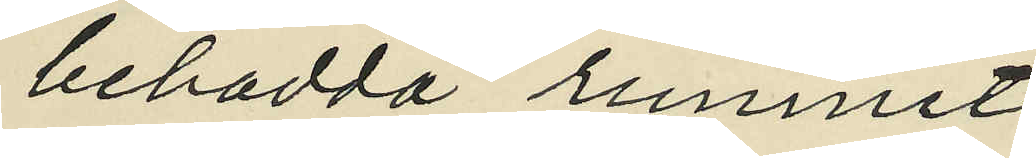bebodda runmet
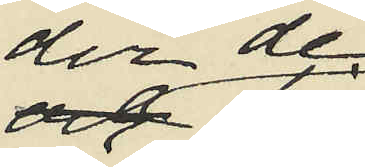der de 
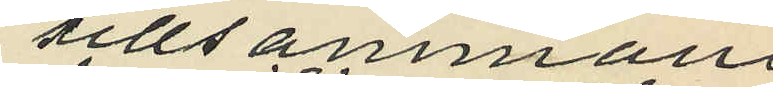tillsammans
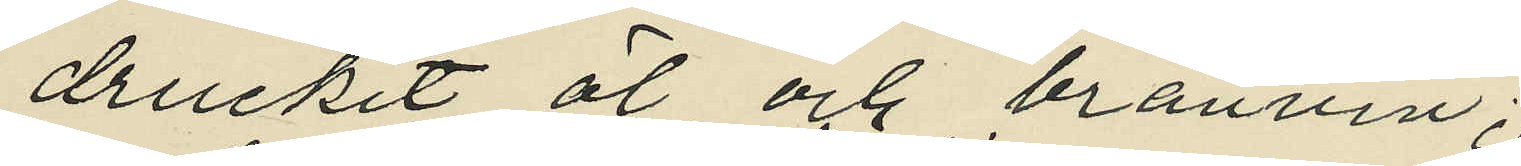druckit öl och bränvin;
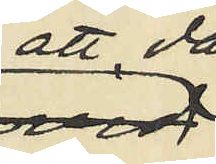att då
